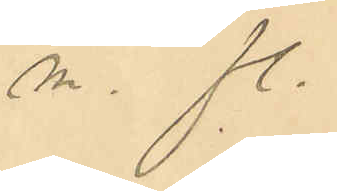 m. fl.
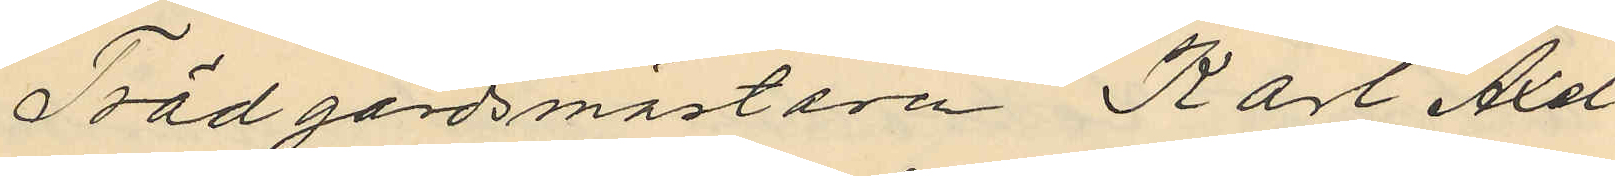Trädgårdsmästaren Karl Axel
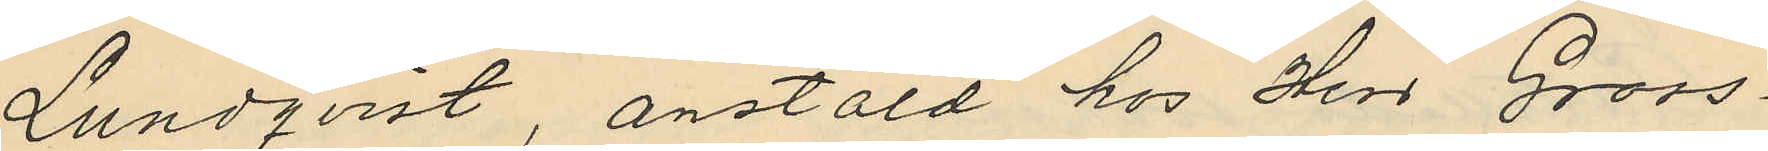Lundqvist, anstäld hos Herr Gross¬
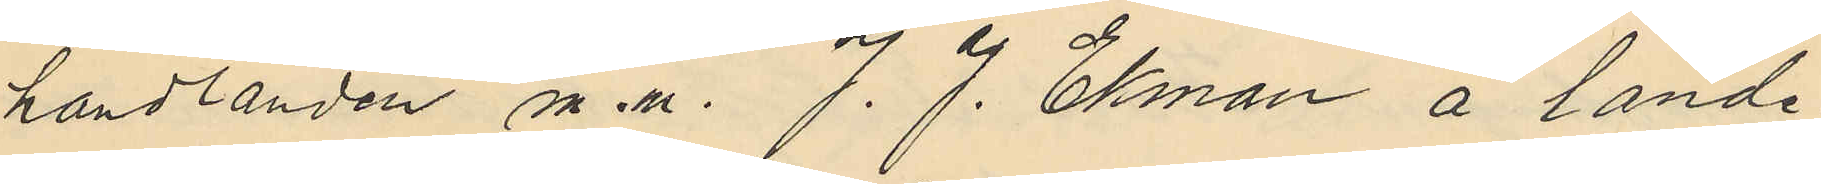handlanden m. m. J. J. Ekman å lande¬
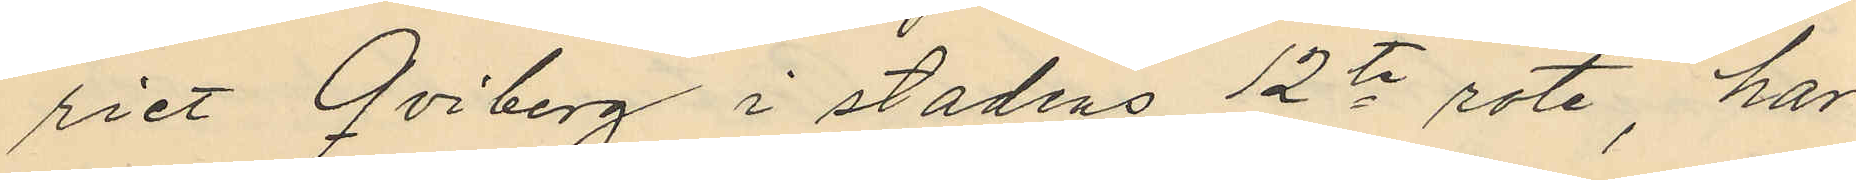riet Qviberg i stadens 12te rote, har
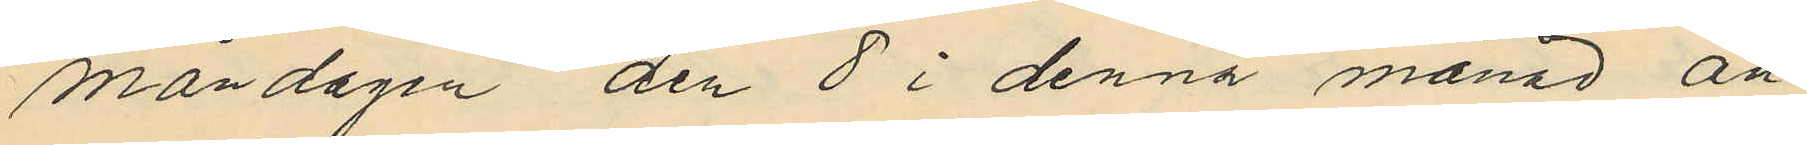måndagen den 8 i denna månad an¬
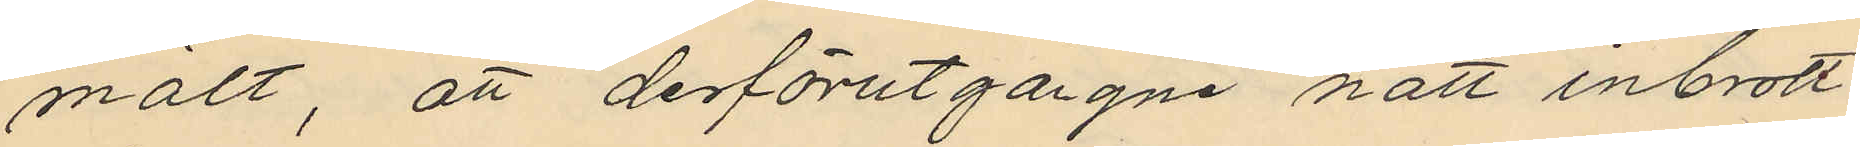mält, att derförutgågne natt inbrott
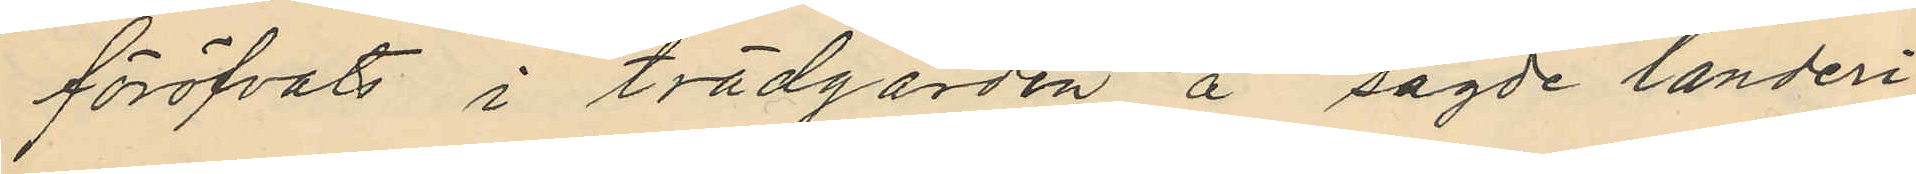föröfvats i trädgården å sagde landeri
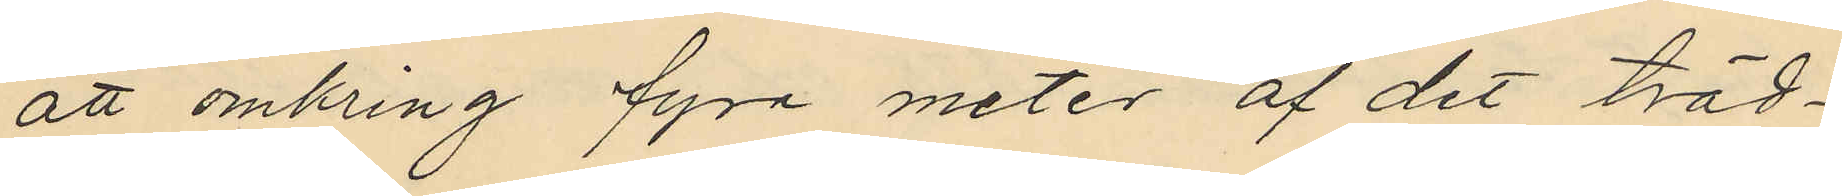att omkring fyra meter af det träd¬
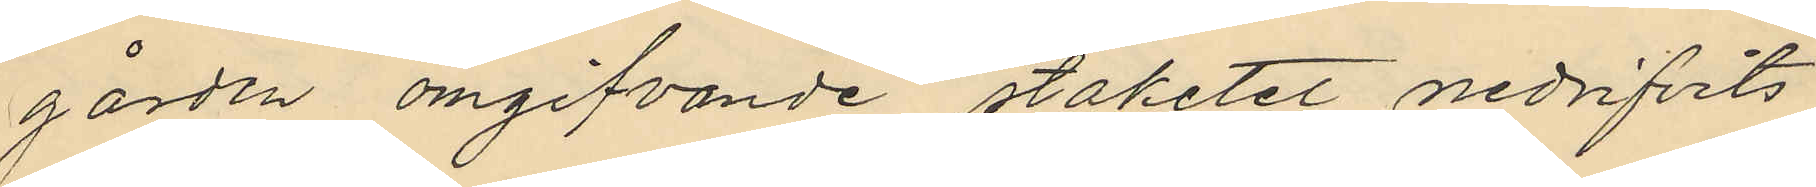gården omgifvande staketet nedrifvits
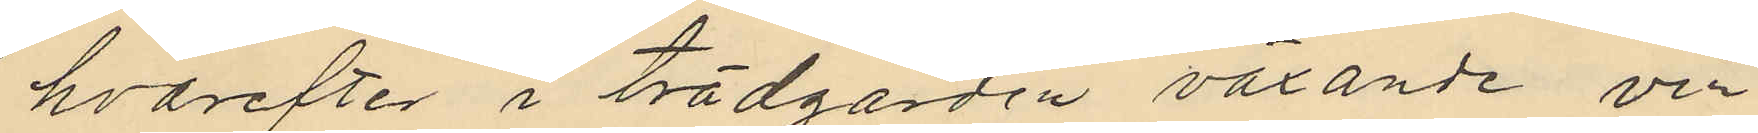hvarefter i trädgården växande vin
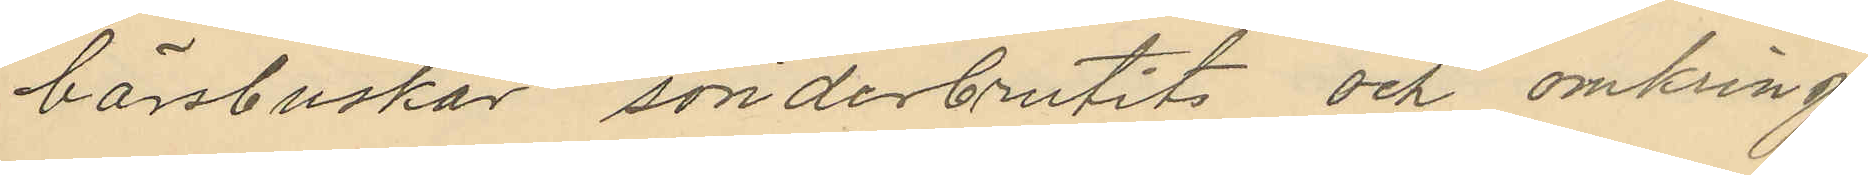bärsbuskar, sönderbrutits och omkring
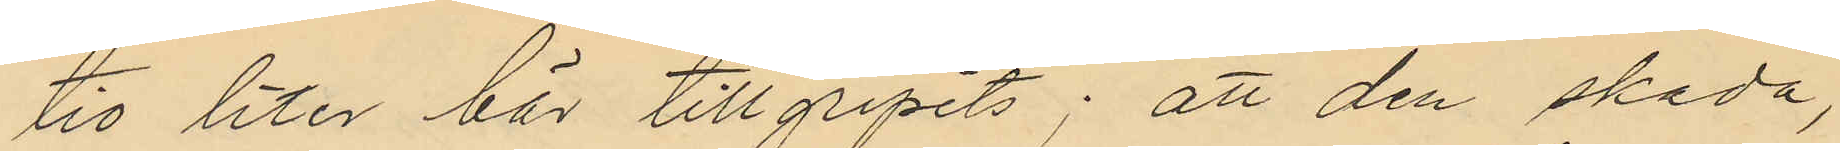tio liter bär tillgripits; att den skada,
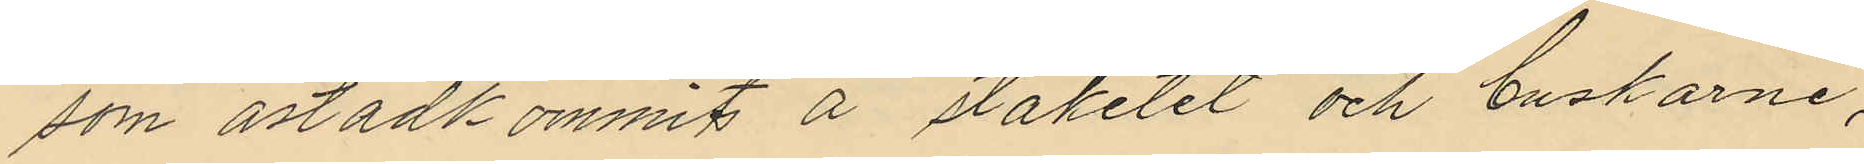som åstadkommits å staketet och buskarne,
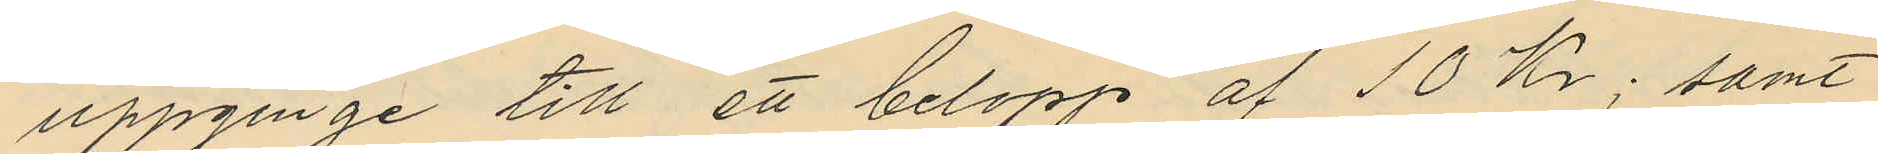uppginge till ett belopp af 10 Kr; samt
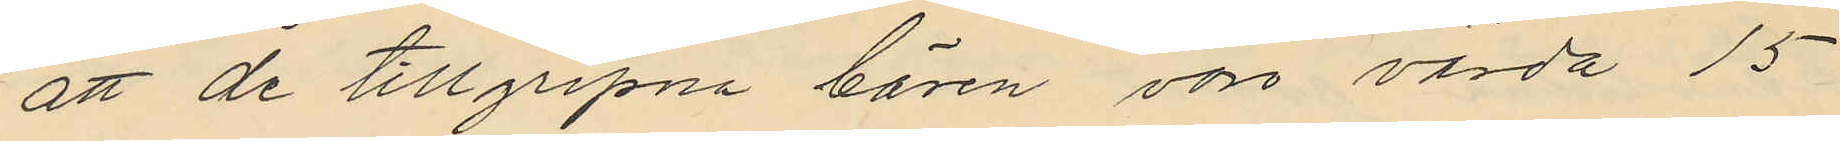att de tillgripna bären vore värda 15
